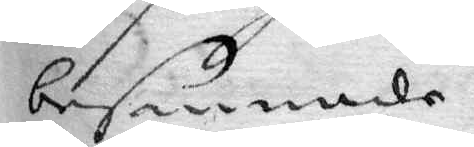besannade.
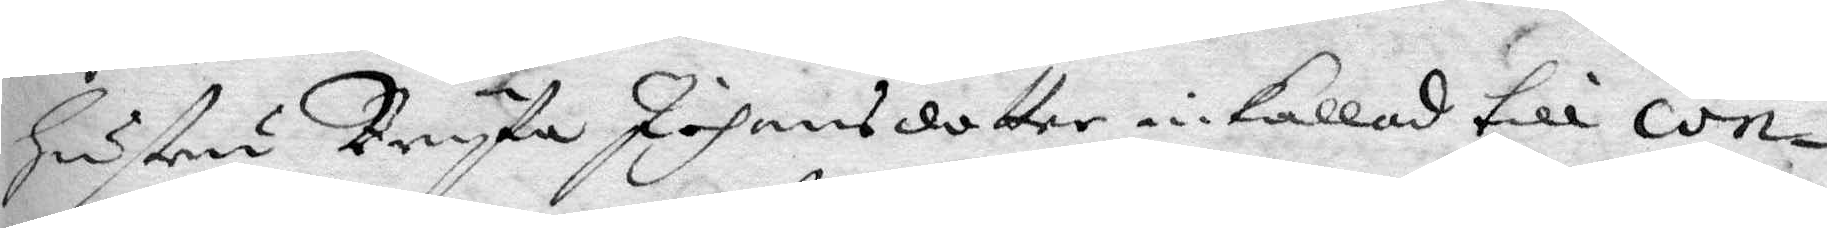Hustru Bryta Johansdotter inkallad till con¬
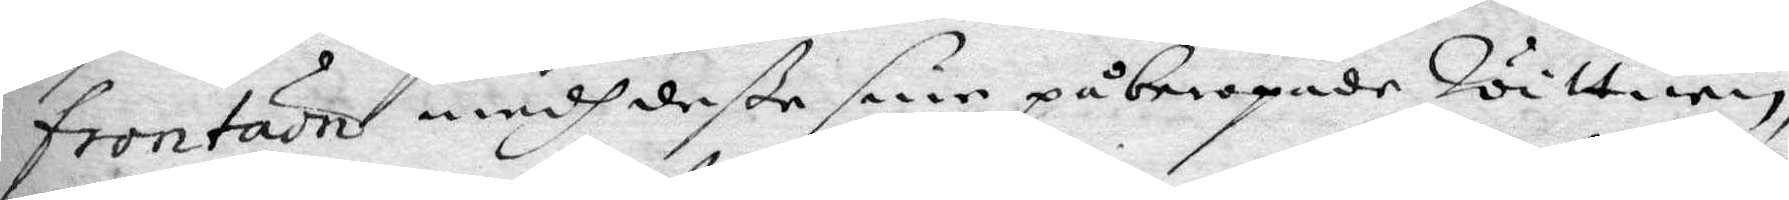frontation medh deße sine påberopade Witnen,
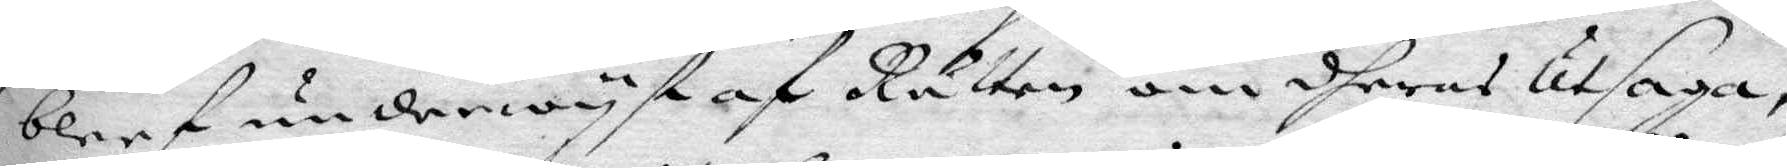blef underwyste af Rätten om dheras Utsaga,
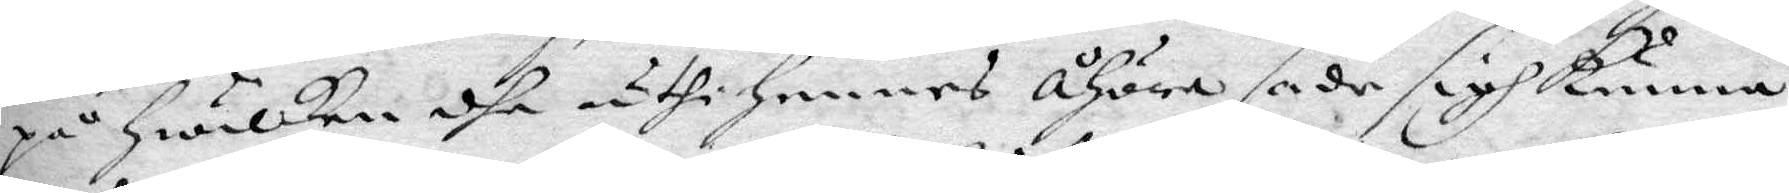på hwilken dhe uthi hennes åhöra sade sigh kunna
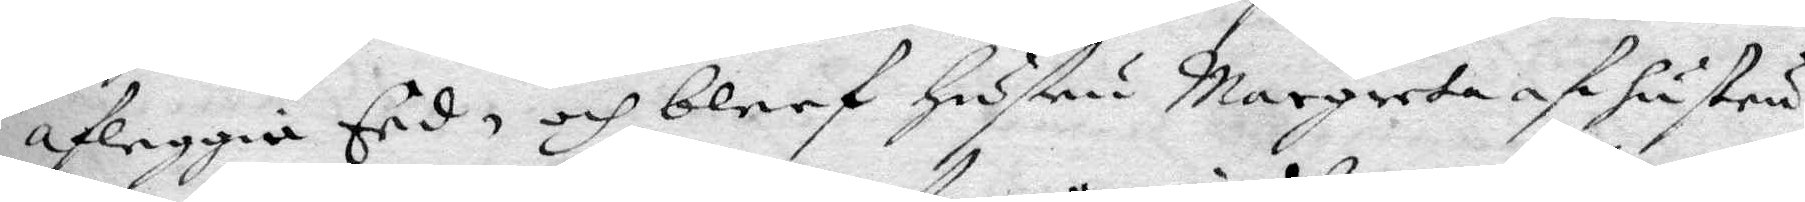afleggia Eed, och bleef hustru Margeta af hustru
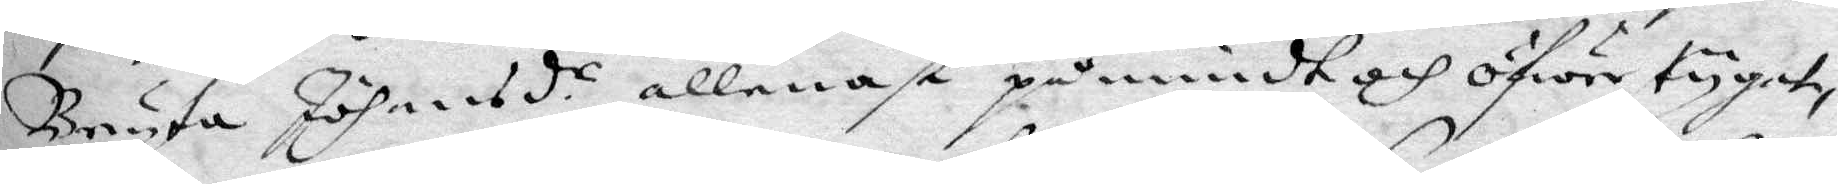Bryta Johansd.r allenast påmindt och öfwertygat,
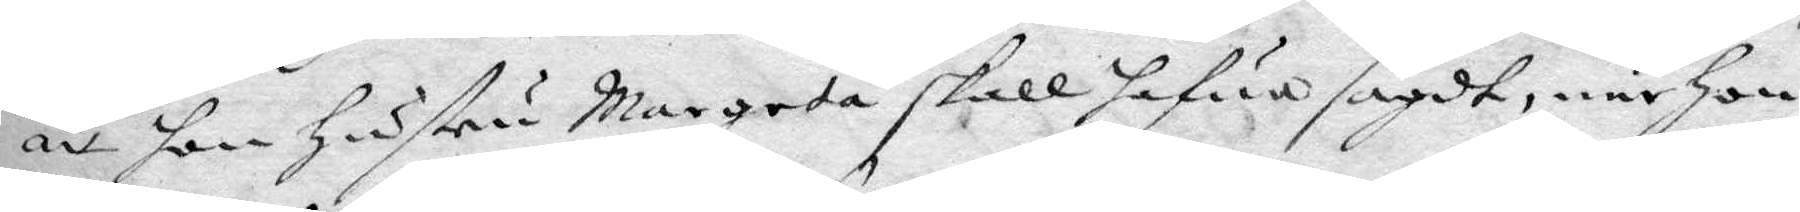att hon hustru Margeta skall hafua sagdt, när hon
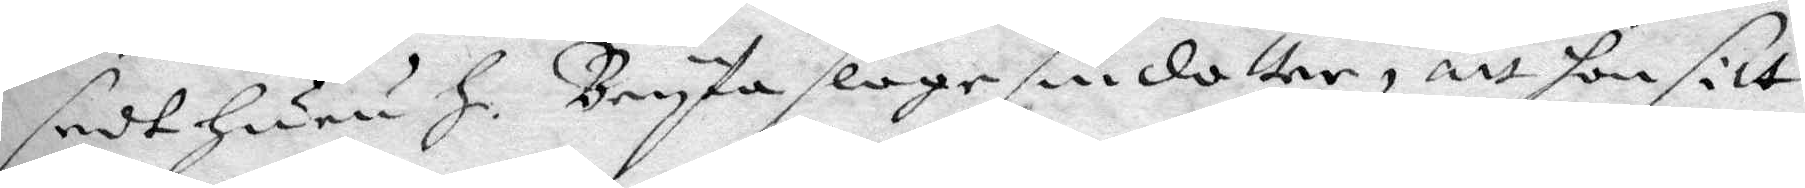sedt huru h. Bryta slage sin dotter, att hon sitt
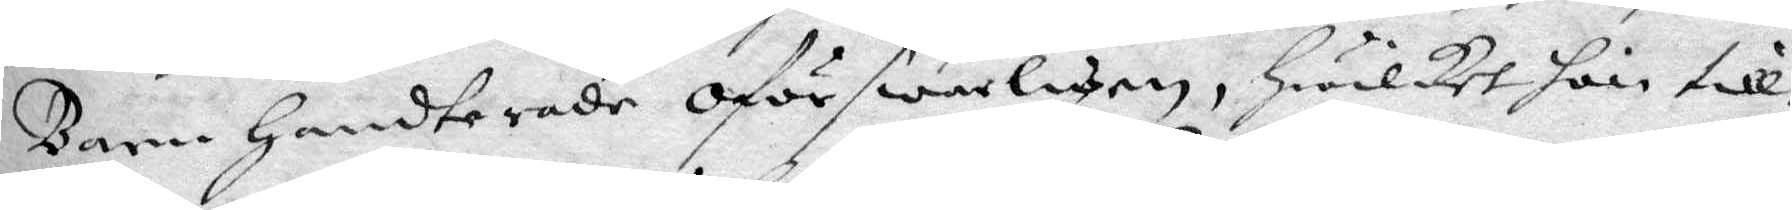Barn handterade oförswarligen, hwilket hon till¬
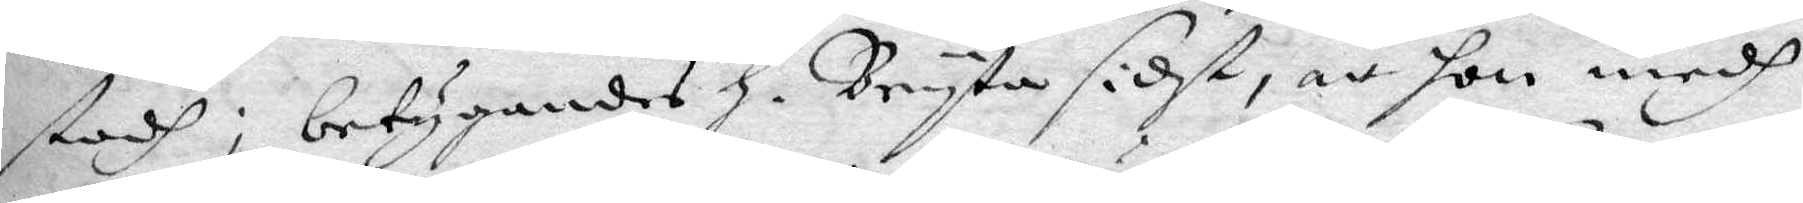stodh, betygandes h. Bryta sidst, att hon medh
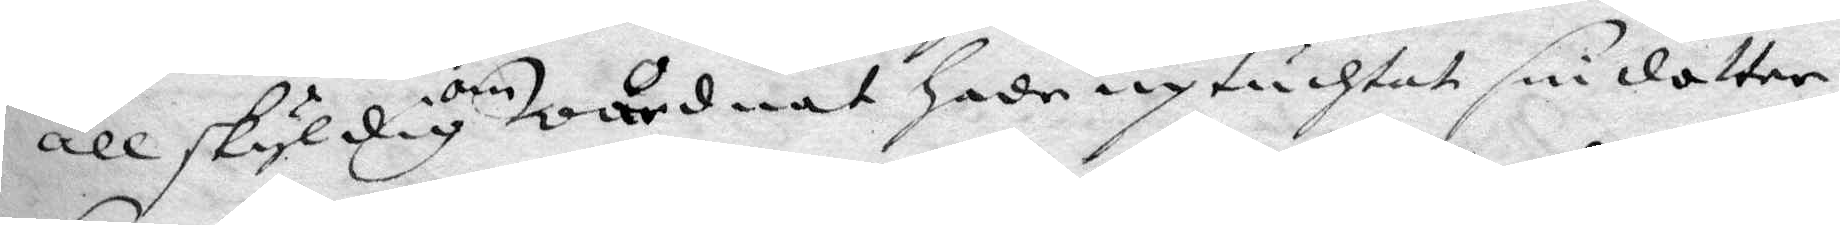all skyldig om Wårdnad hade uptuchtat sin dotter
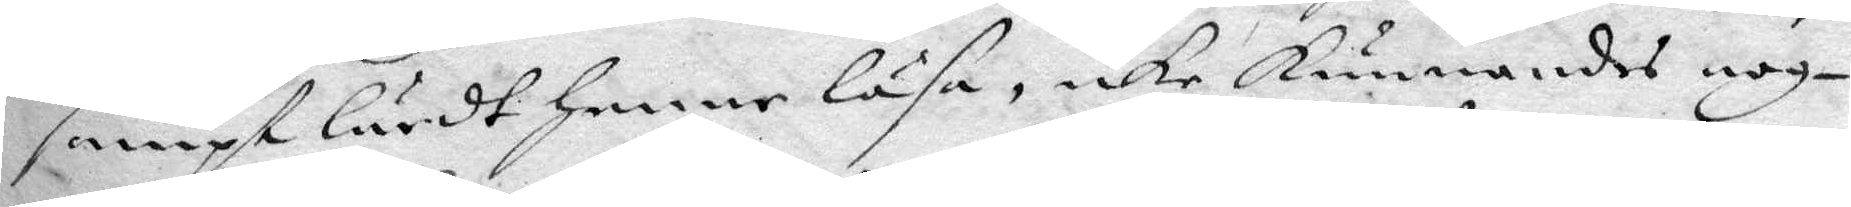sampt lärdt henne läsa, icke kunnandes nog¬
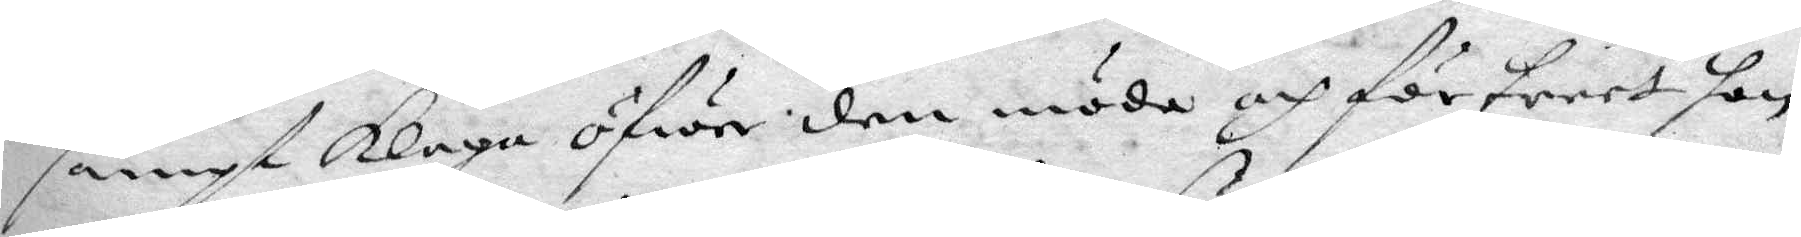sampt klaga öfwer denmöda och förtreet hon
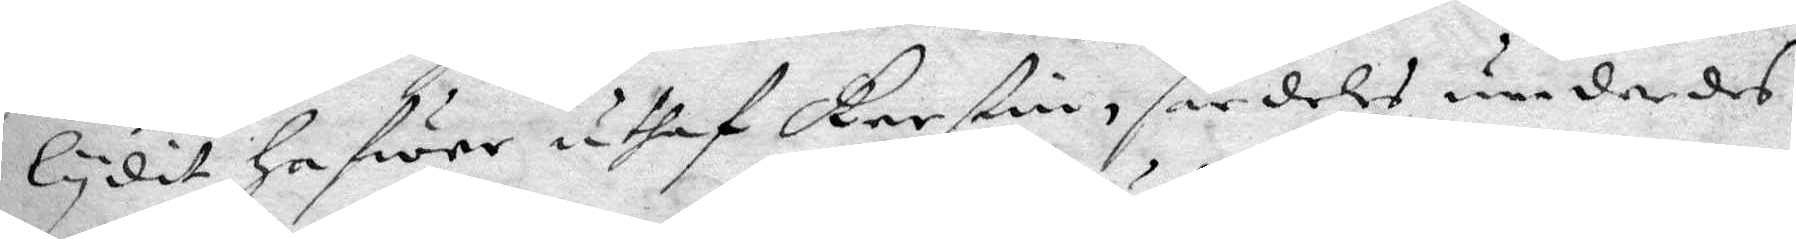lydit hafwer uthaf Kerstin, för dels under des
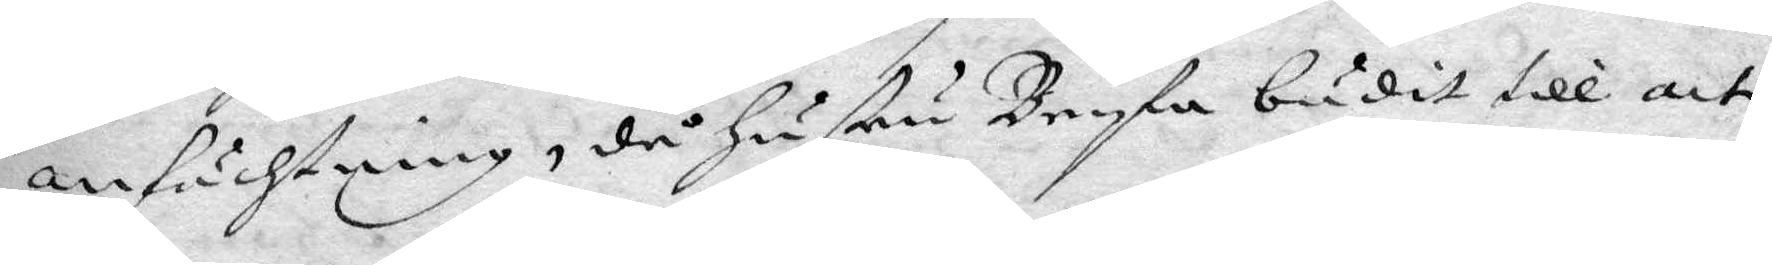anfächtning, då hustru Bryta budit till att
